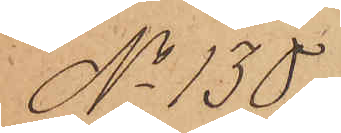No 130.
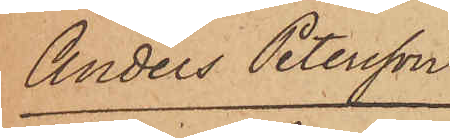Anders Petersson
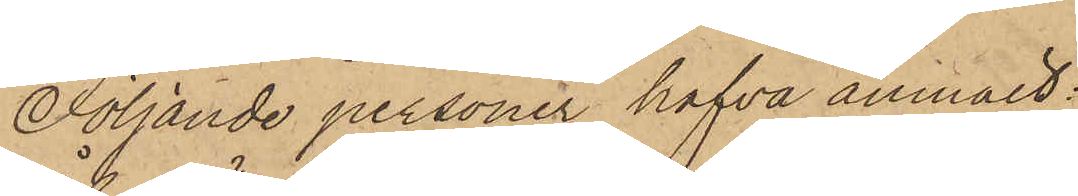Följande personer hafva anmält:
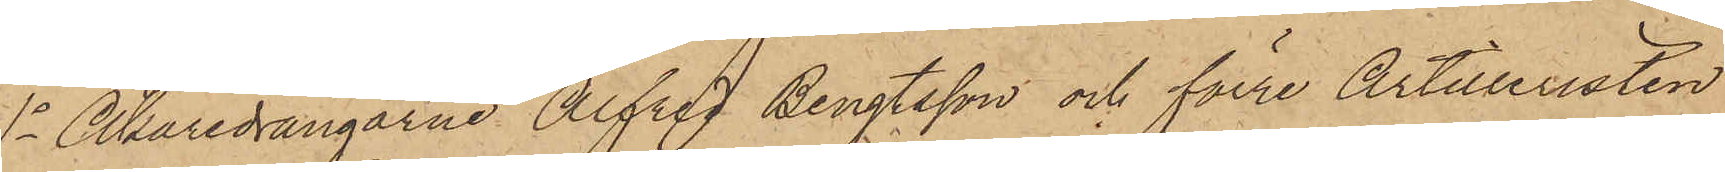1o Åkaredrängarne Alfred Bengtsson och förre Artilleristen
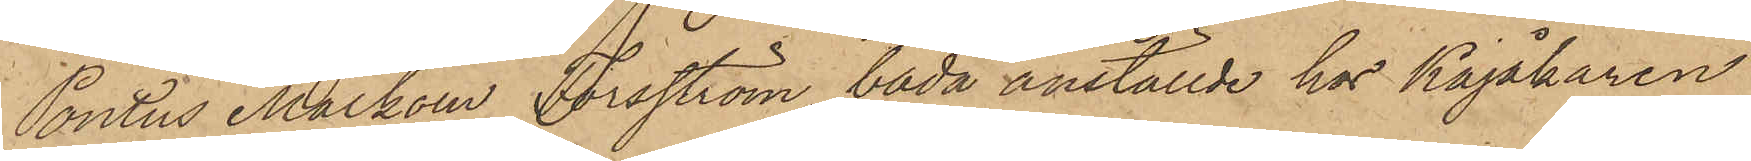Pontus Malkom Forsström, båda anställde hos Kajåkaren
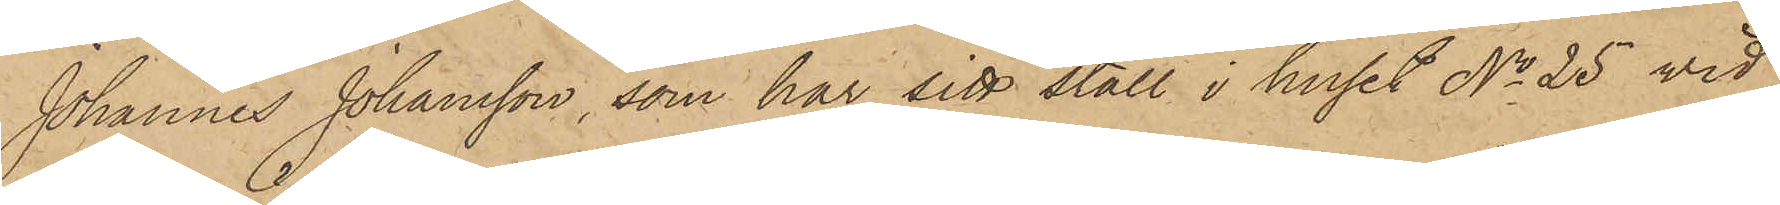Johannes Johansson, som har sitt stall i huset No 25 vid
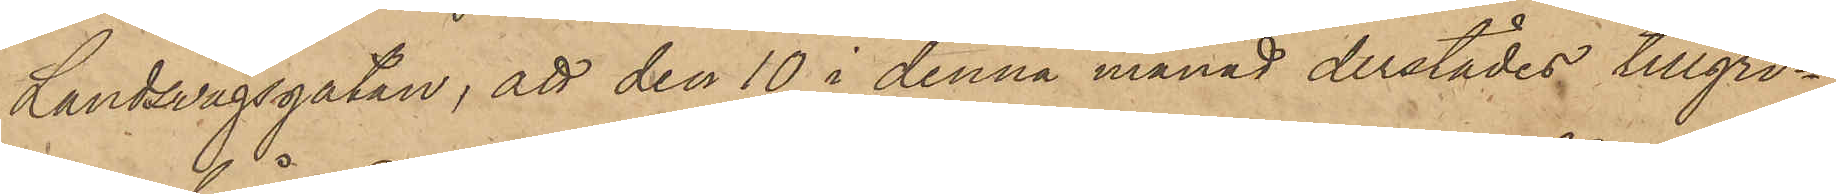Landsvägsgatan, att den 10 i denna månad derstädes tillgri¬
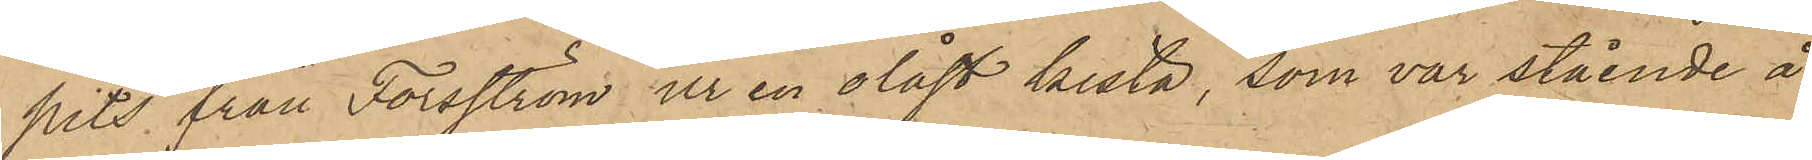pits från Forsström ur en olåst kista, som var stående å
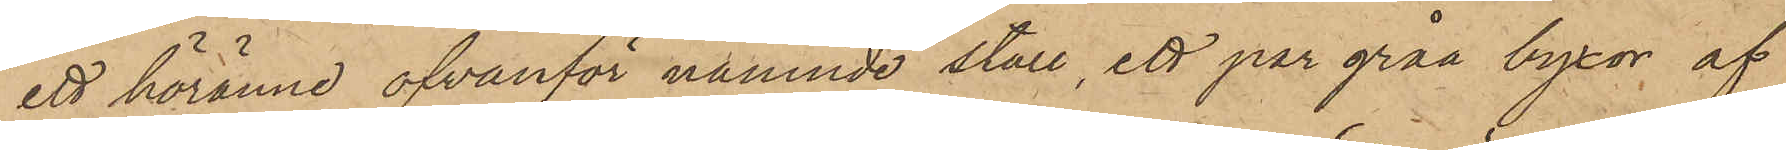ett höränne ofvanför nämnde stall, ett par gråa byxor af
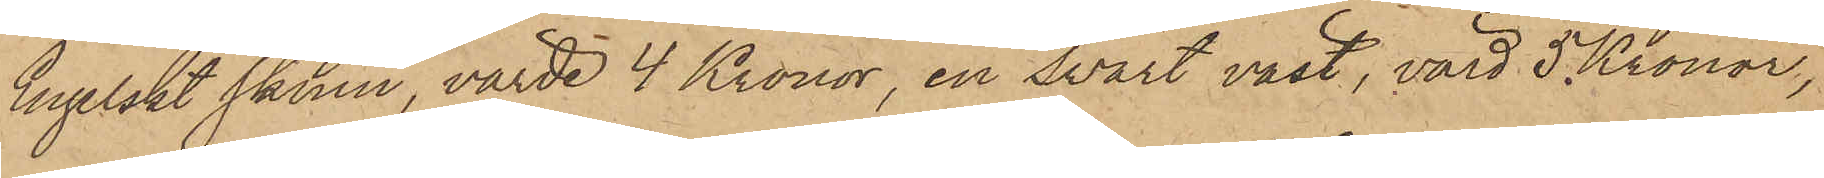Engelskt skinn, värde 4 Kronor, en svart väst, värd 5 Kronor,
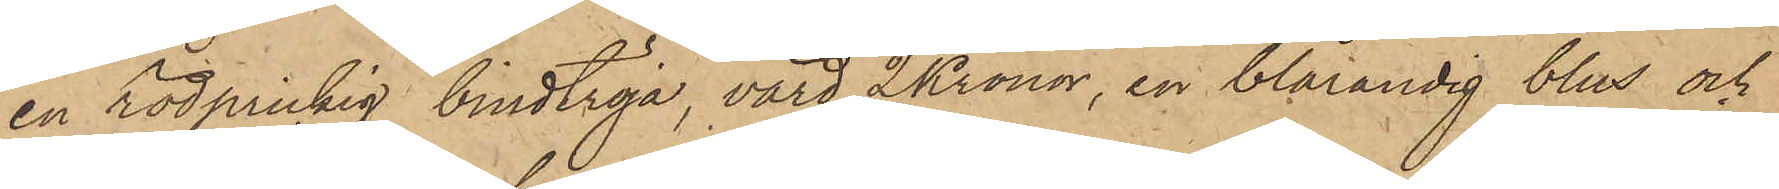en rödprickig bindtröja, värd 2 Kronor, en blårandig blus och
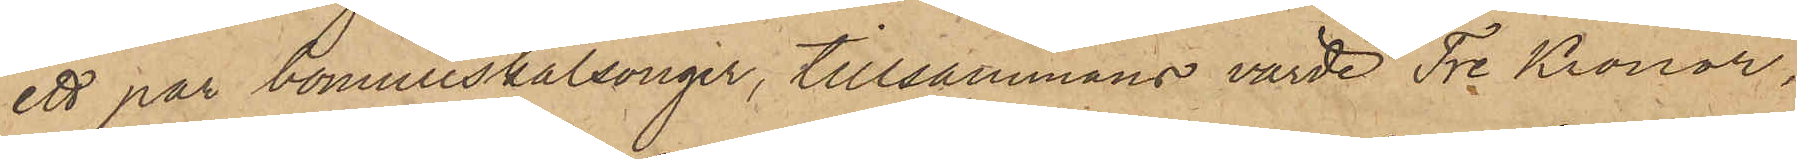ett par bomullskalsonger, tillsammans värde Tre Kronor,
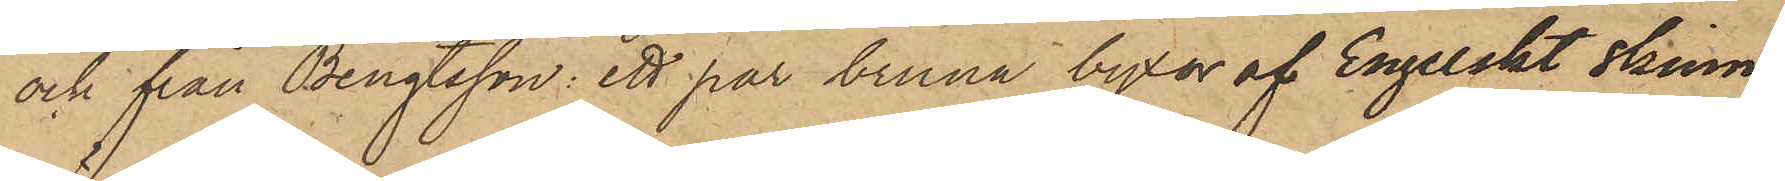och från Bengtsson: ett par bruna byxor af Engelskt skinn,
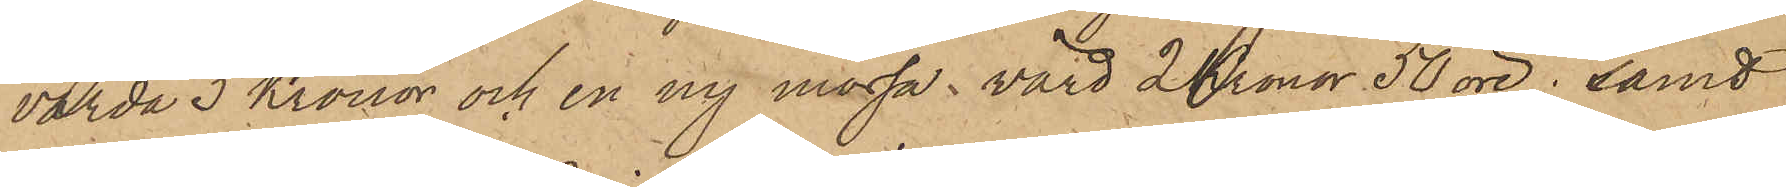värda 3 Kronor och en ny mössa, värd 2 Kronor 50 öre; samt
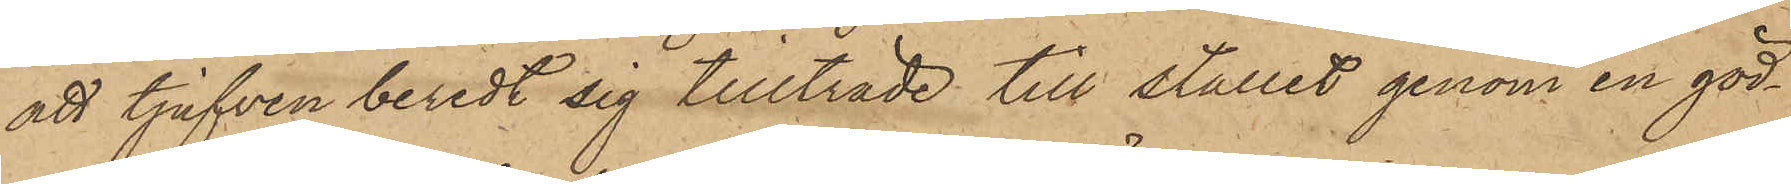att tjufven beredt sig tillträde till stallet genom en göd¬
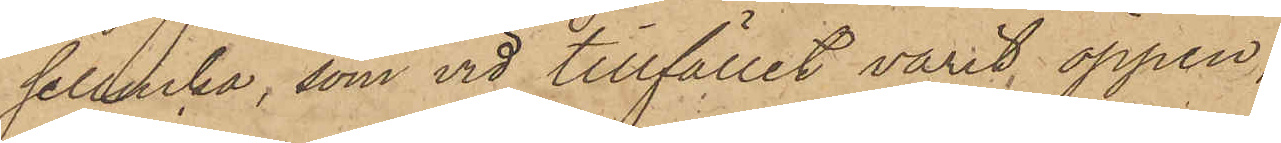sellucka, som vid tillfället varit öppen;
